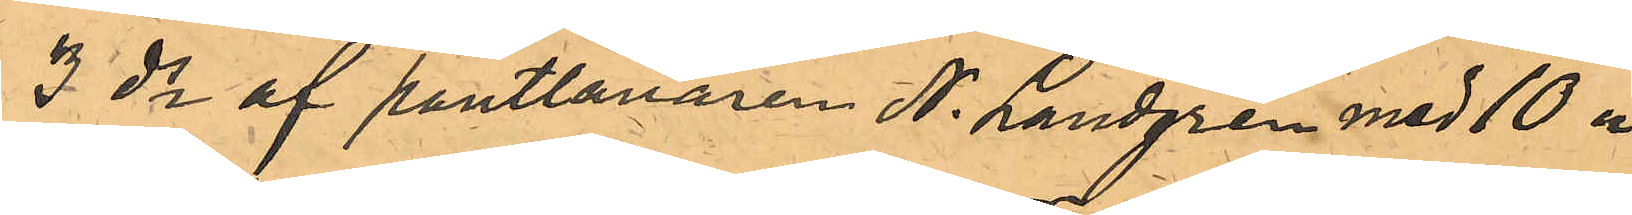3 ds af pantlånaren N. Landgren med 10 "
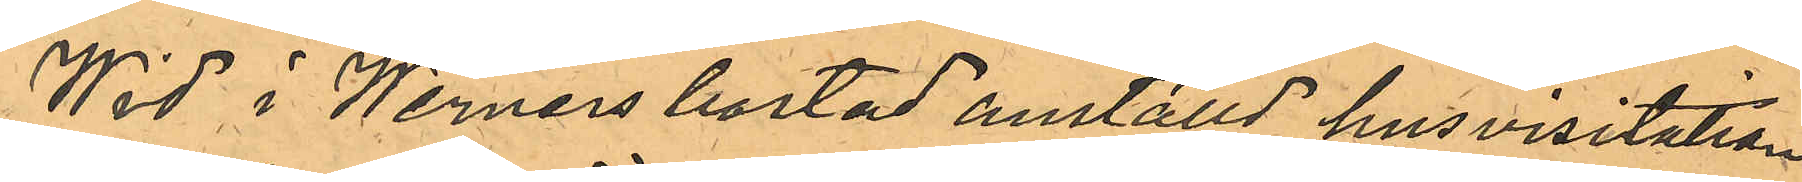Wid i Werners bostad anställd husvisitation
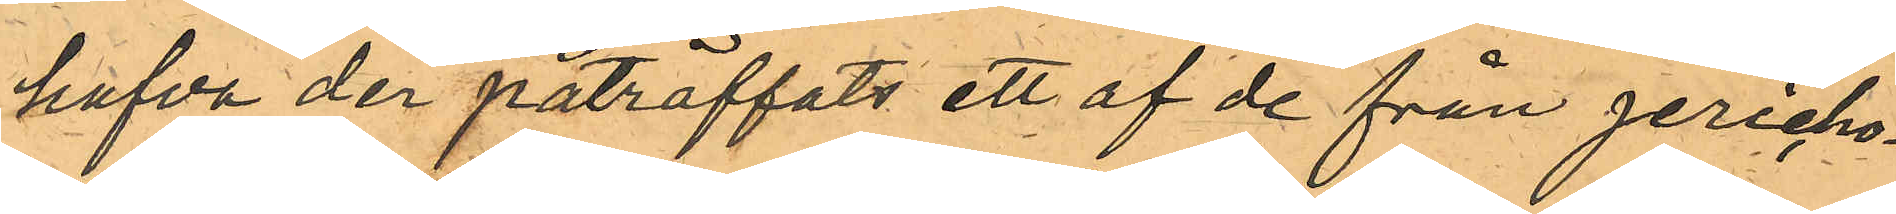hafva der påträffats ett af de från Jericho¬
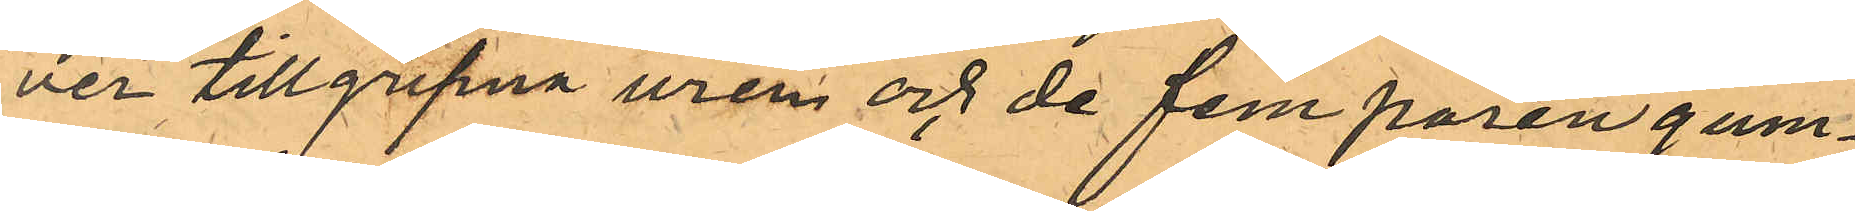ver tillgripne uren och de fem paren gum¬
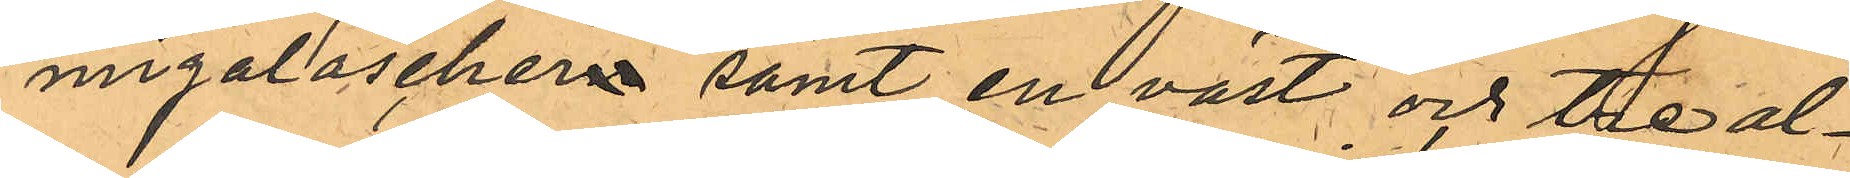migaloschern samt en väst och tre al¬
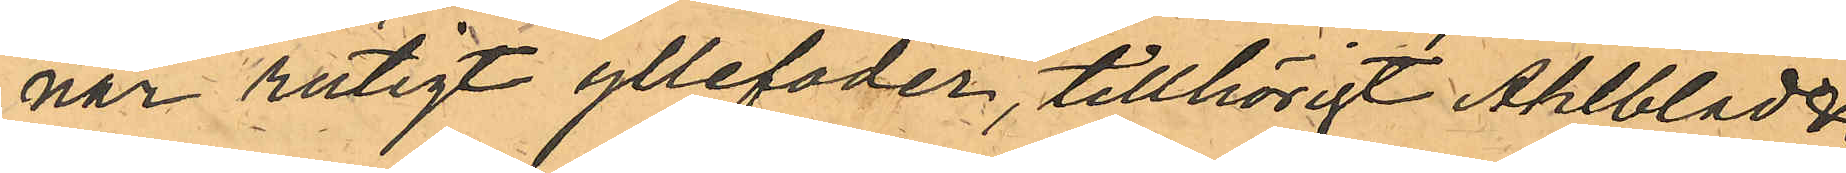nar rutigt yllefoder, tillhörigt Ahlblad &
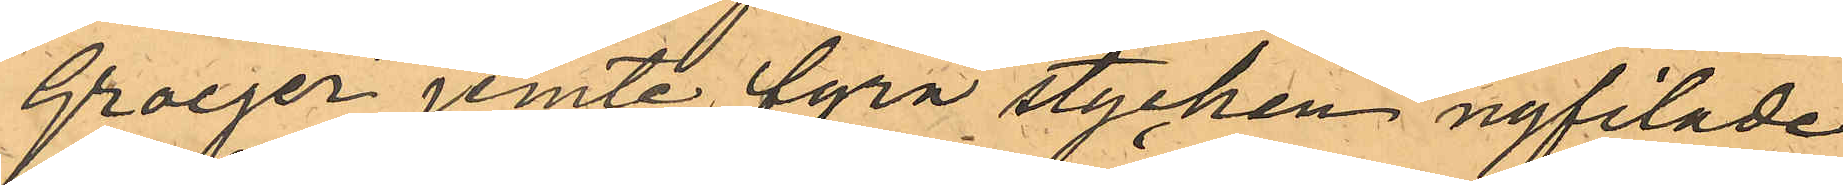Groeger jemte fyra stycken nyfilade
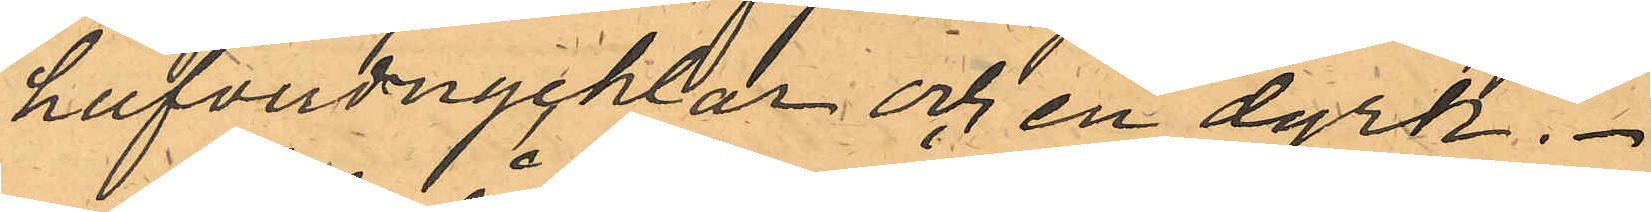hufvudnycklar och en dyrk.
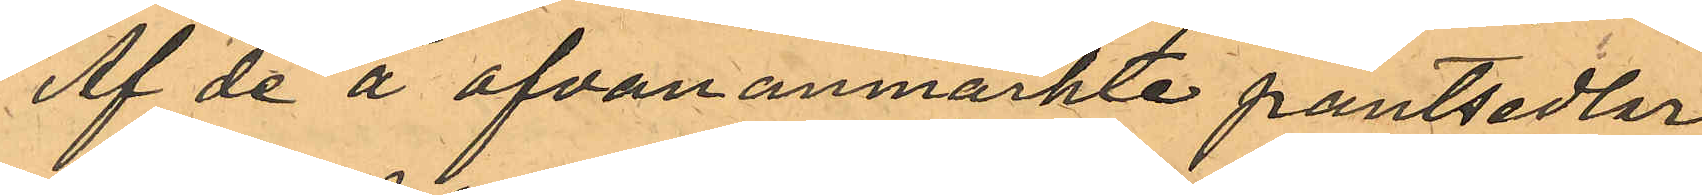Af de å ofvan anmärkte pantsedlar
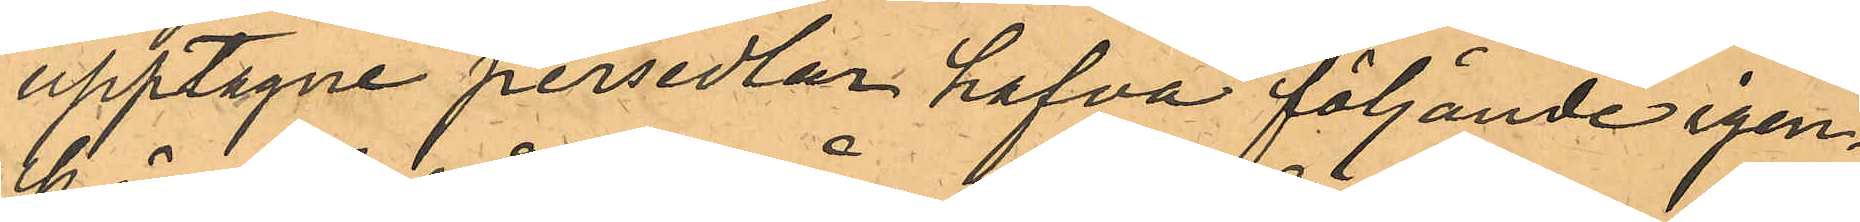upptagne persedlar hafva följande igen¬
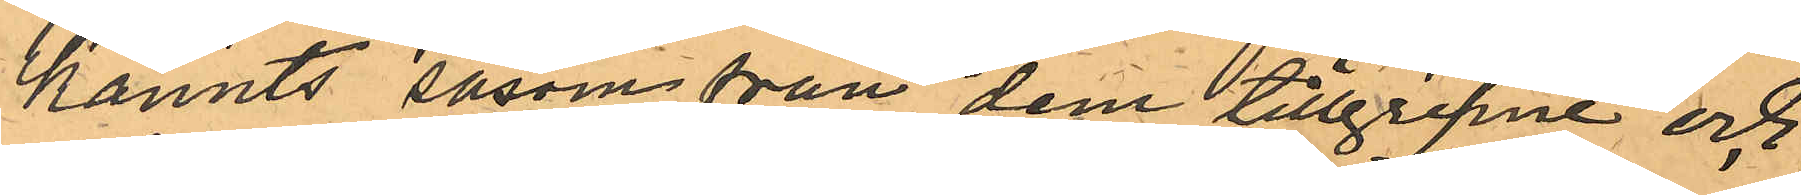kännts såsom från dem tillgripne och
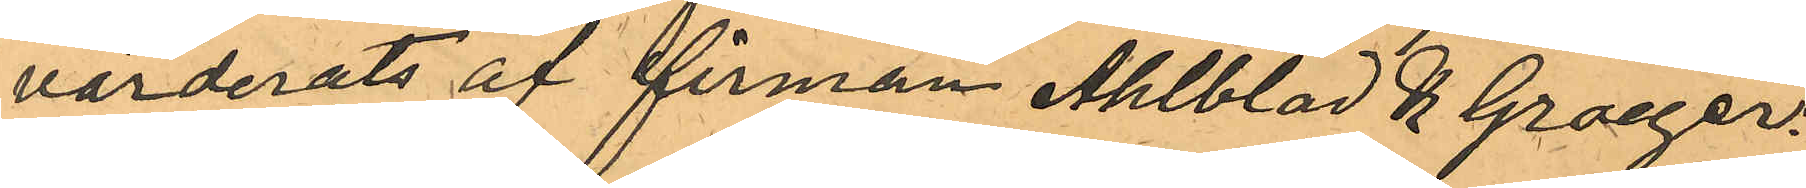värderats af firman Ahlblad och Groeger:
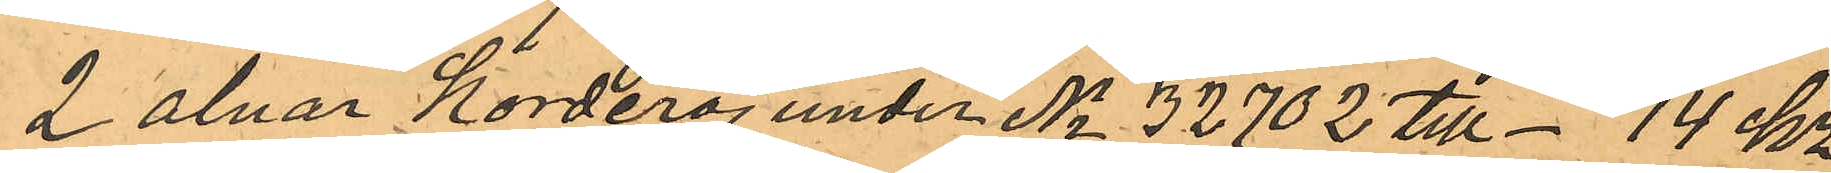2 alnar korderoj under No 32702 till - 14 kr
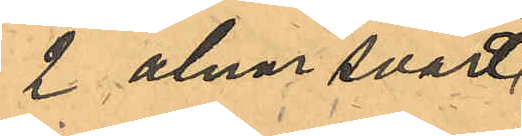2 alnar svart
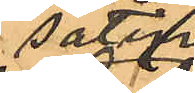satin
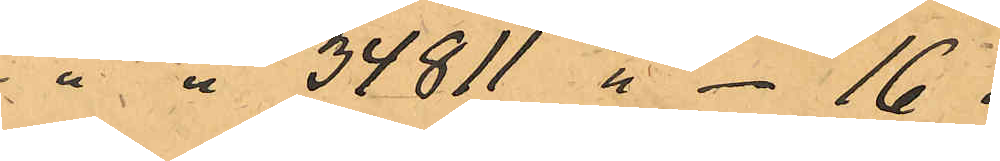" " 34811 " - 16 "
